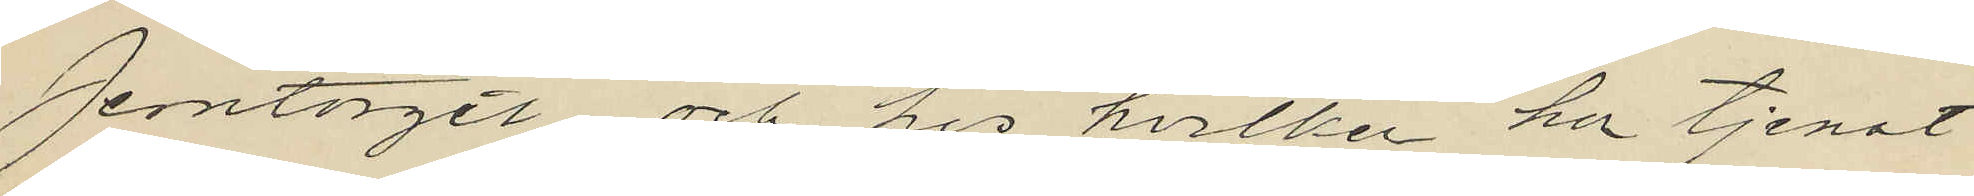Jerntorget och hos hvilken hon tjenat
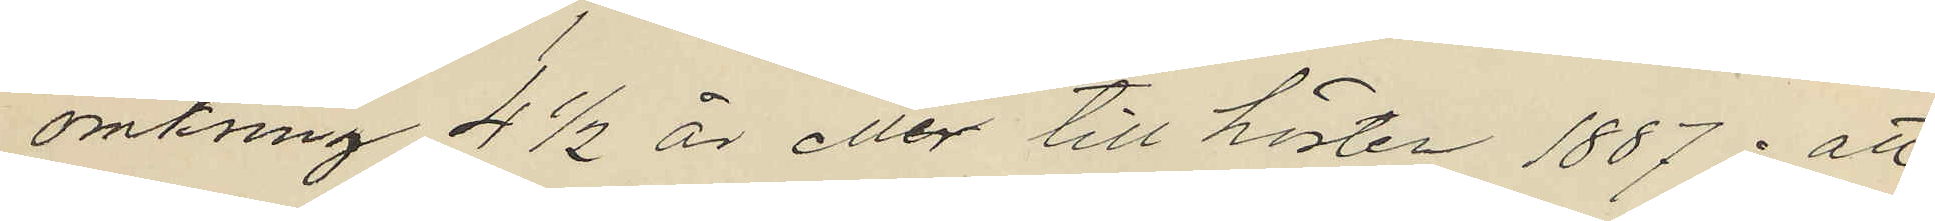omkring 4½ år eller till hösten 1887; att
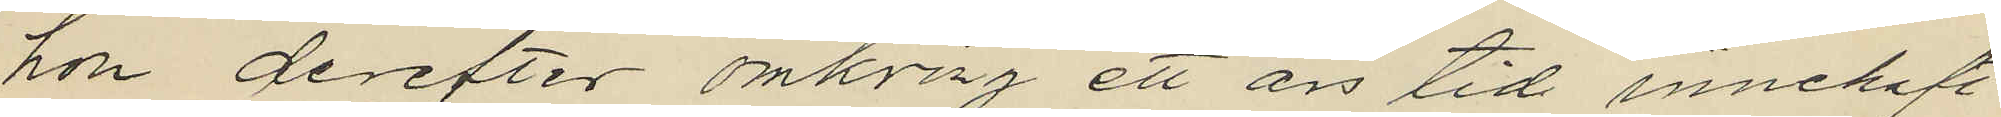hon derefter omkrng ett år tid innehaft
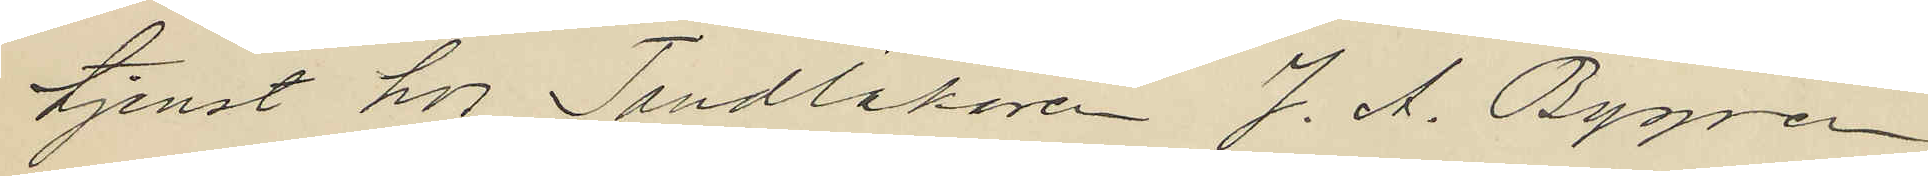tjenst hos Tandläkare J. A. Bygren
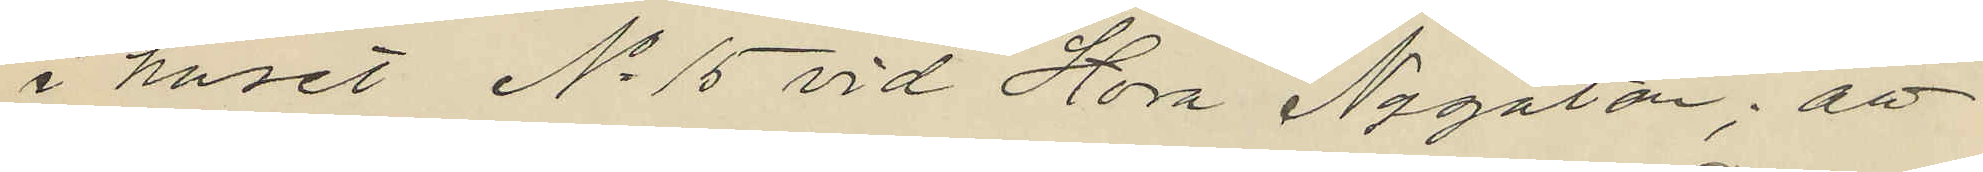i huset No 15 vid Stora Nygatan; att
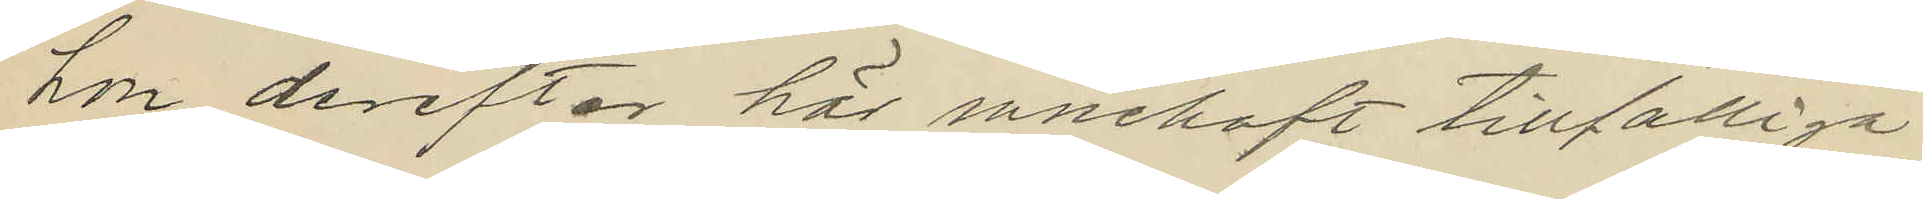hon derefter här innehaft tillfälliga
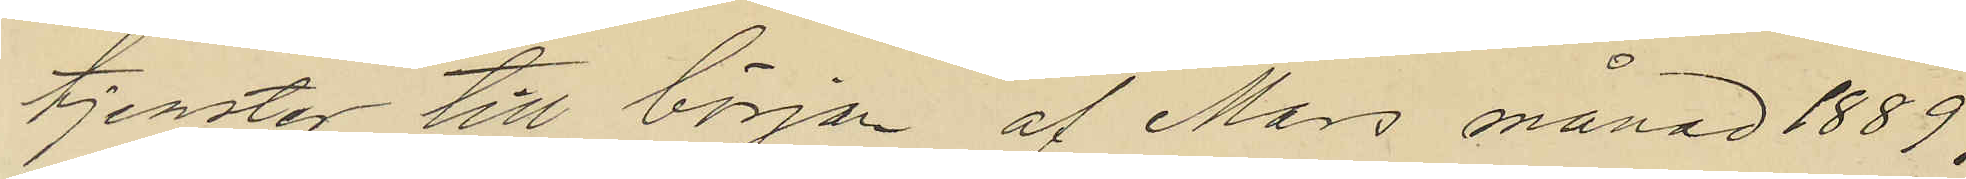tjenster till början af Mars månad 1889,
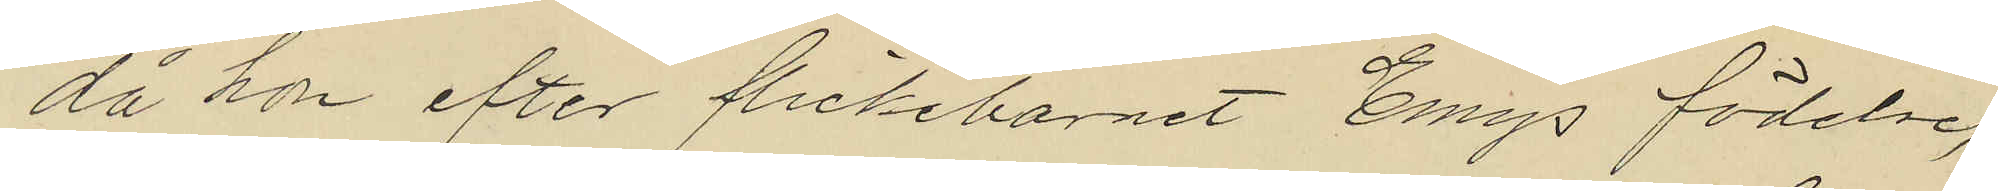då hon efter flickebarnet Emys födelse,
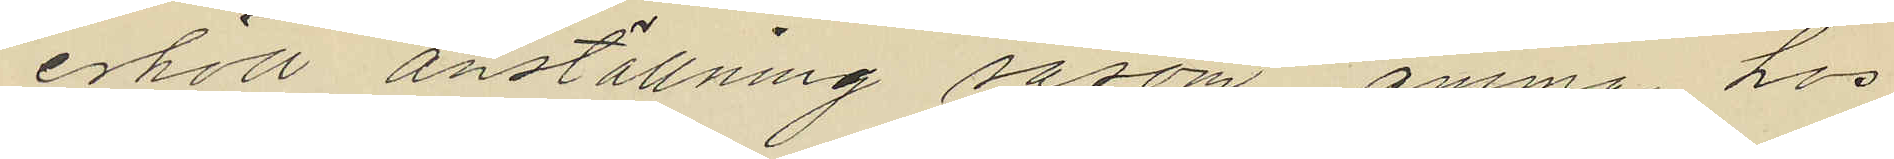erhöll anställning såsom amma hos
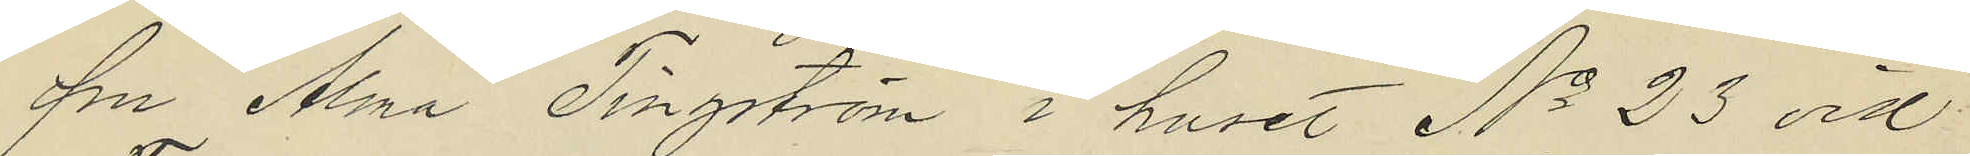fru Alma Tingström i huset No 23 vid
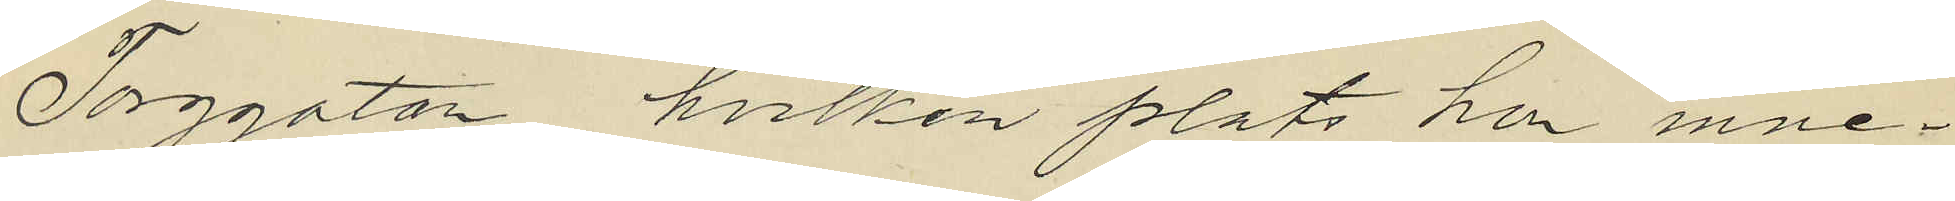Torggatan, hvilken plats hon inne¬
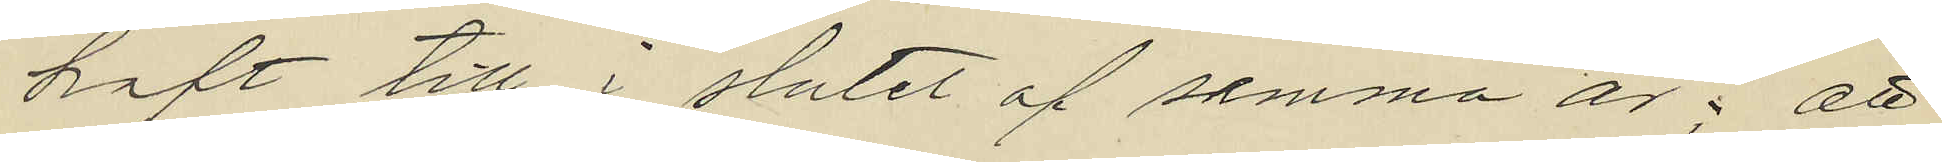haft till i slutet af samma år; att
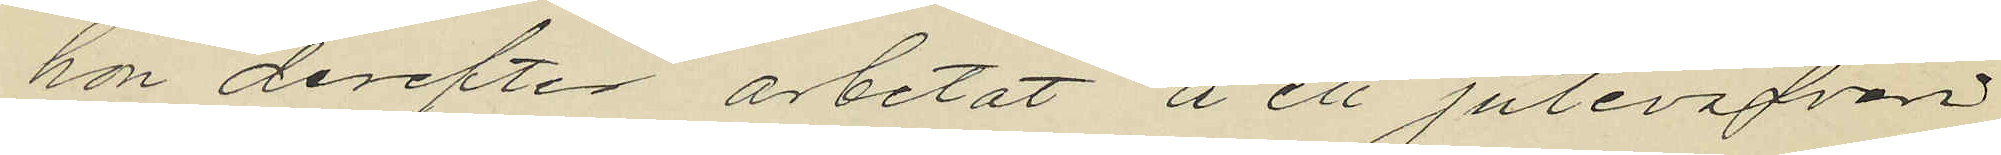hon derefter arbetat å ett juteväfveri
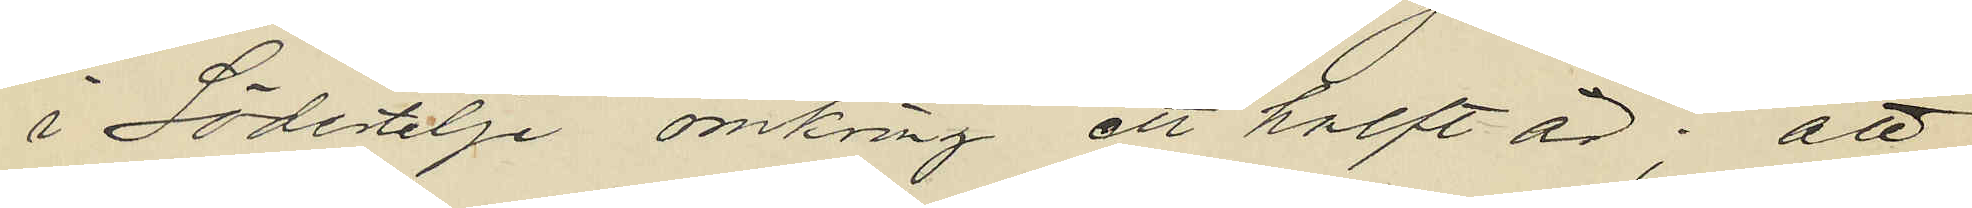i Södertelje omkring ett halft år; att
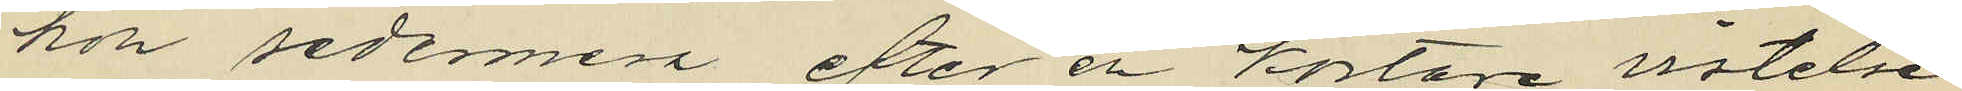hon sedermera efter en kortare vistelse
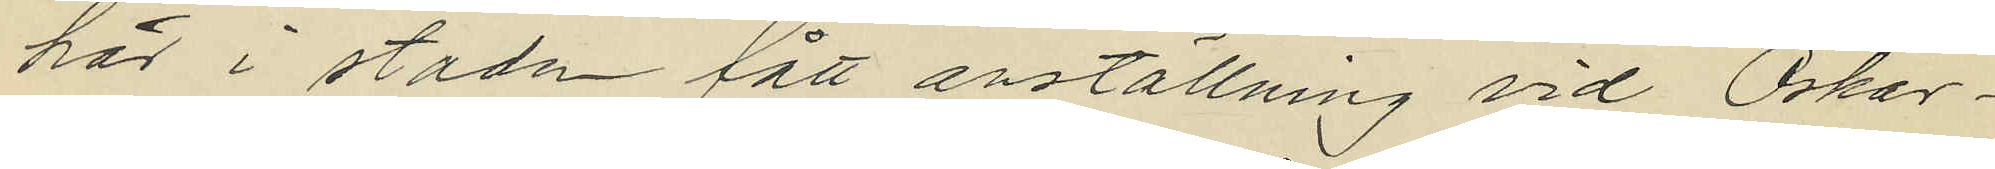här i staden fått anställning vid Oskar¬
